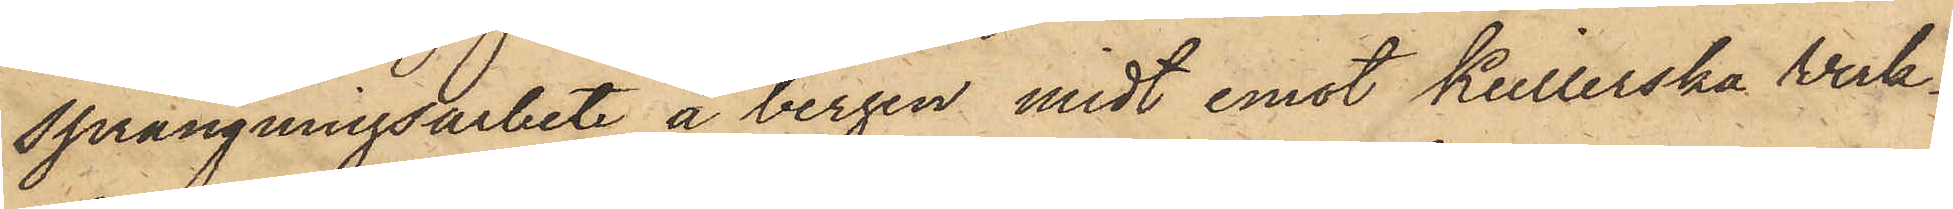sprängningsarbete å bergen midt emot Keillerska Verk¬
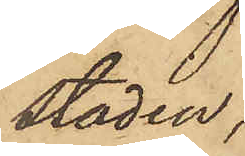staden,
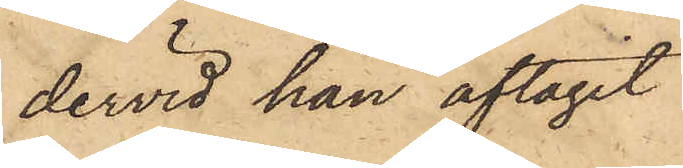dervid han aftagit
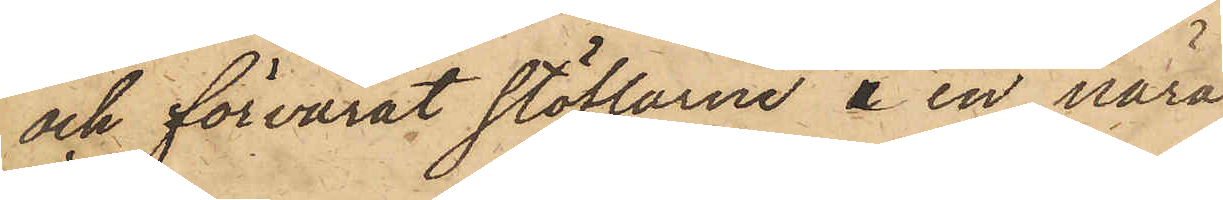och förvarat stöflarne å en nära
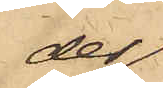der
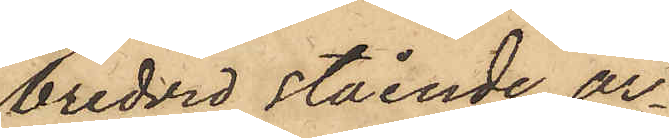bredvid stående ar¬
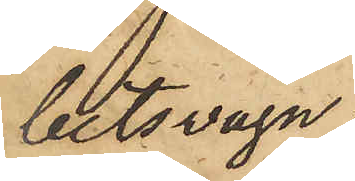betsvagn;
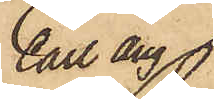Carl Aug
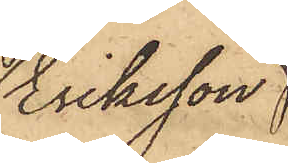Eriksson
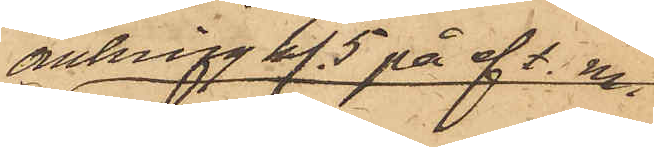omkring kl. 5 på eft. m.
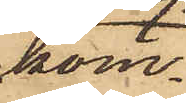kom¬
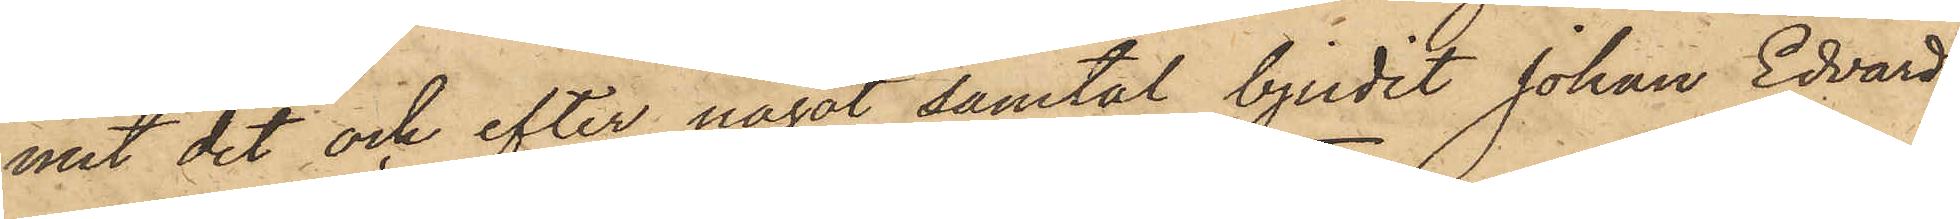mit dit och efter något samtal bjudit Johan Edvard
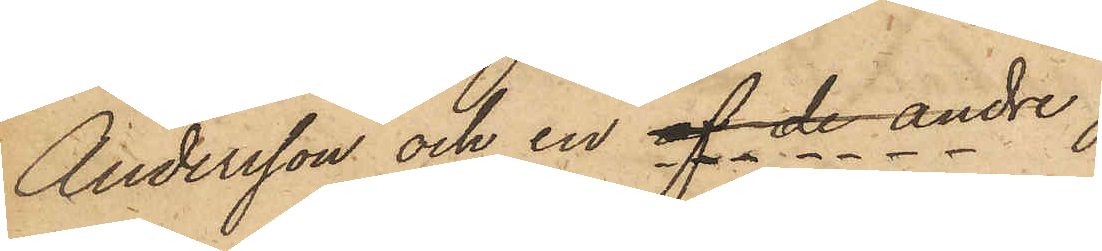Andersson och en af de andre
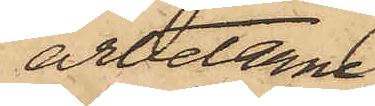arbetarne
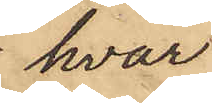hvar
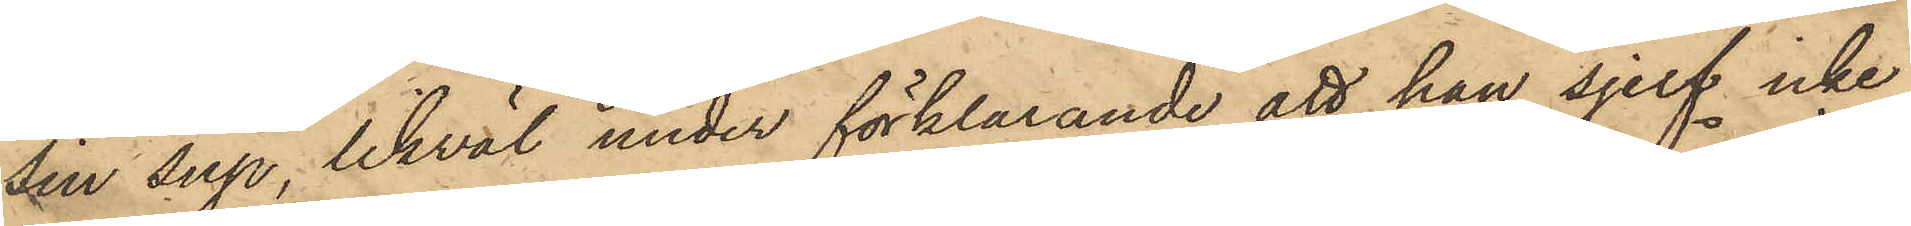sin sup, likväl under förklarande att han sjelf icke
